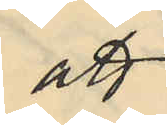att
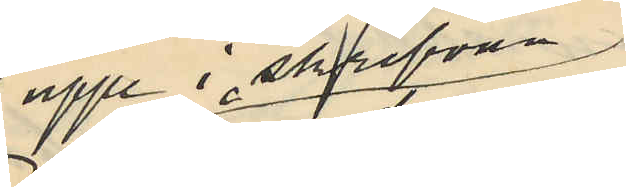uppe i skrefvan
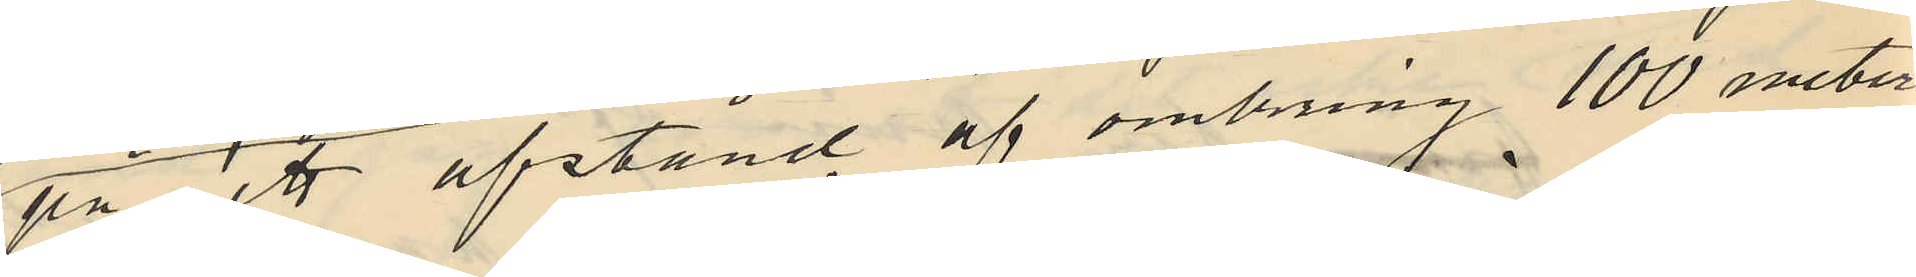på ett afstånd af omkring 100 meter
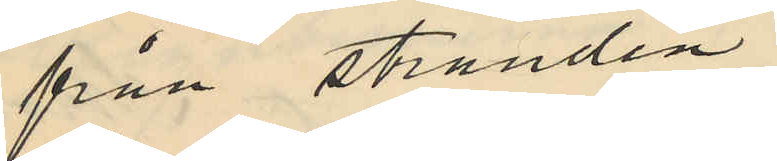från stranden
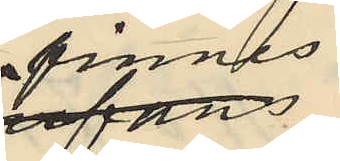finnes
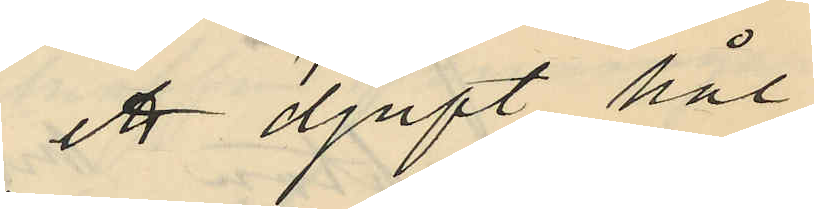ett djupt hål,
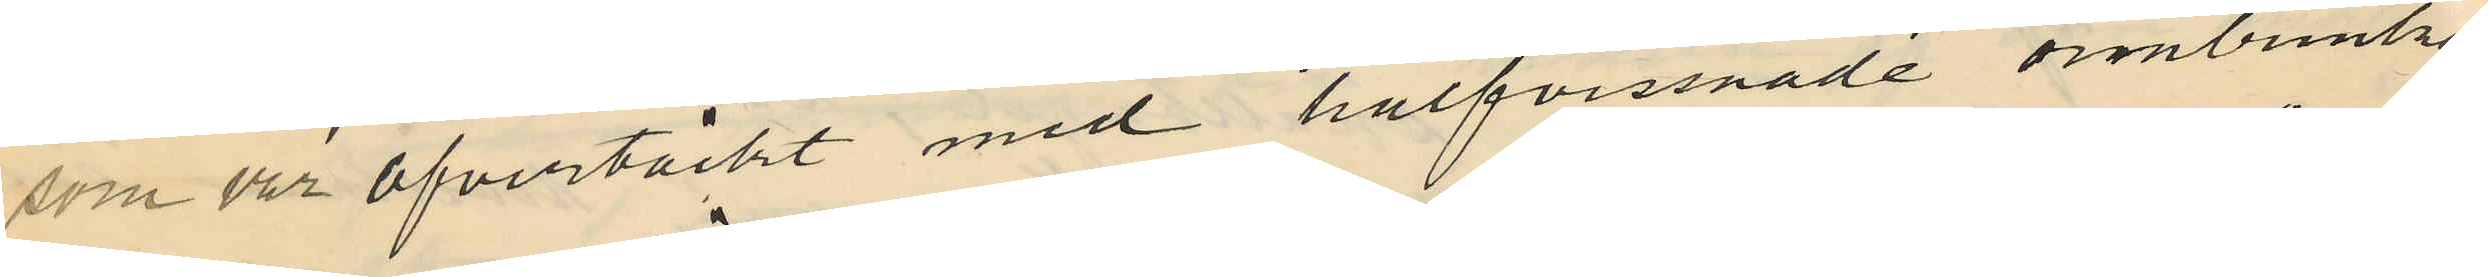som var öfvertäckt med halfvissnade ombunkar
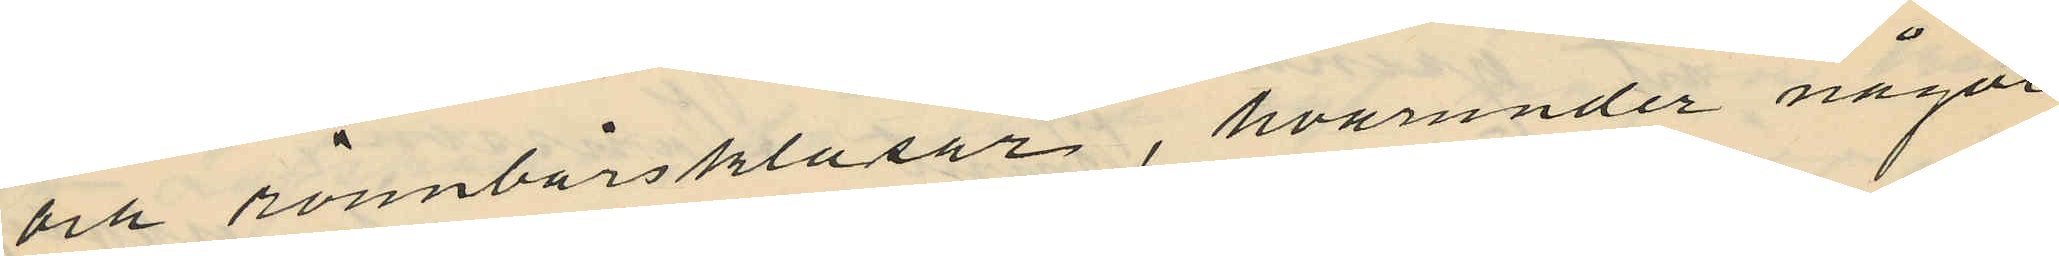och rönnbärsklasar, hvarunder något
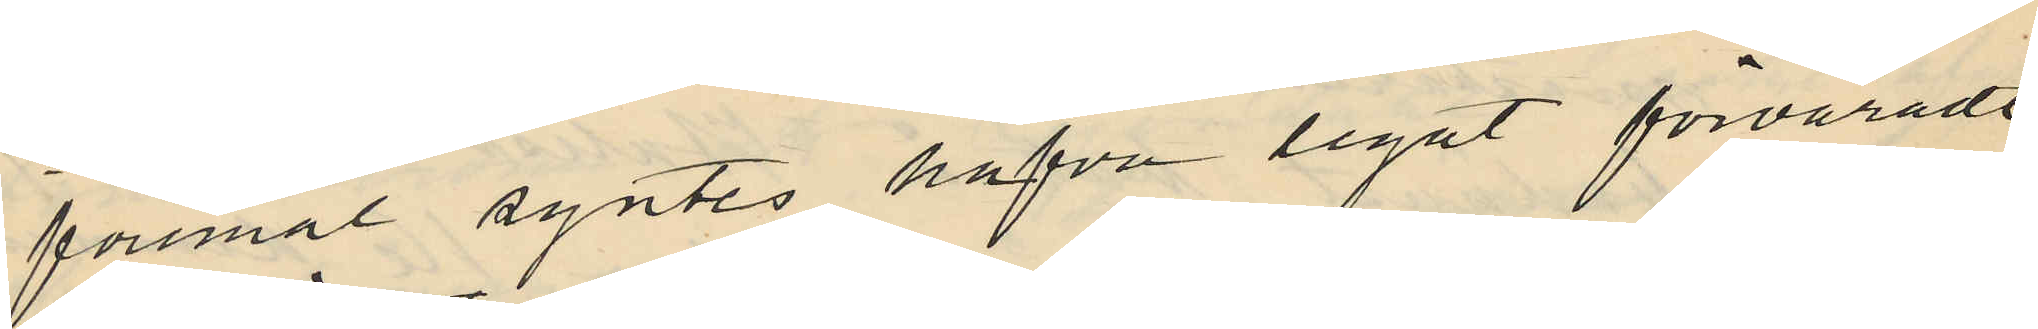föremål syntes hafva legat förvaradt,
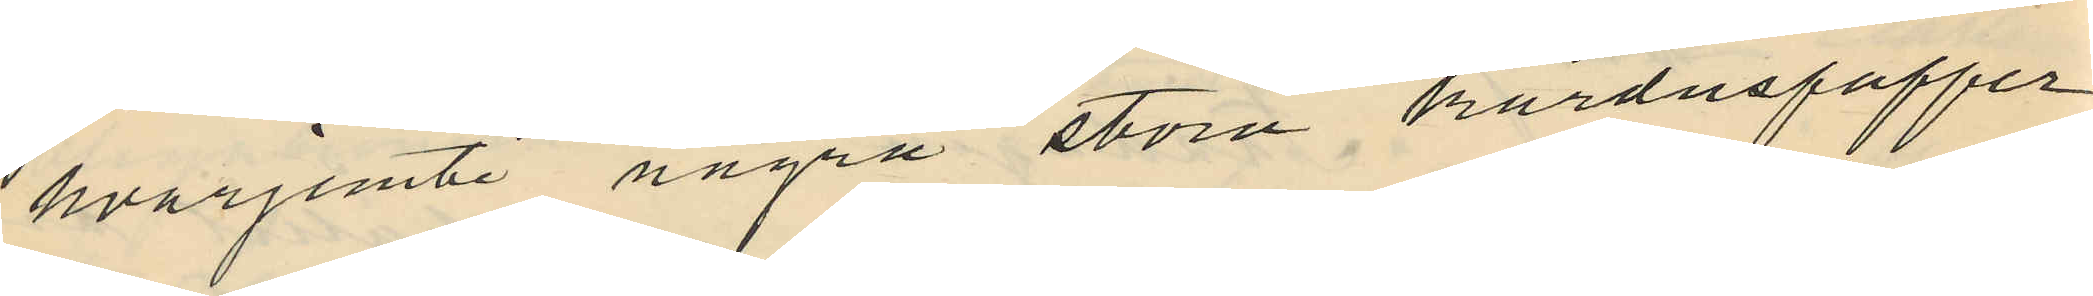hvarjemte några stora karduspapper,
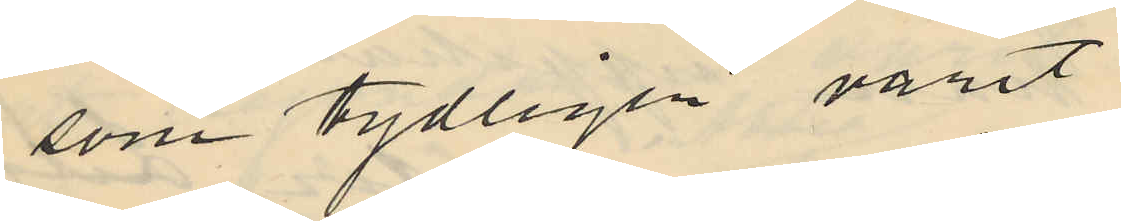som tydligen varit
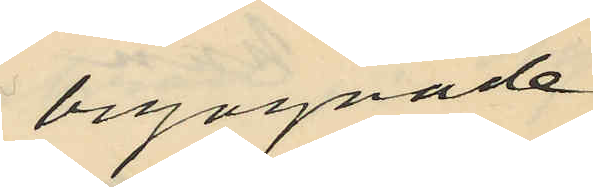begagnade
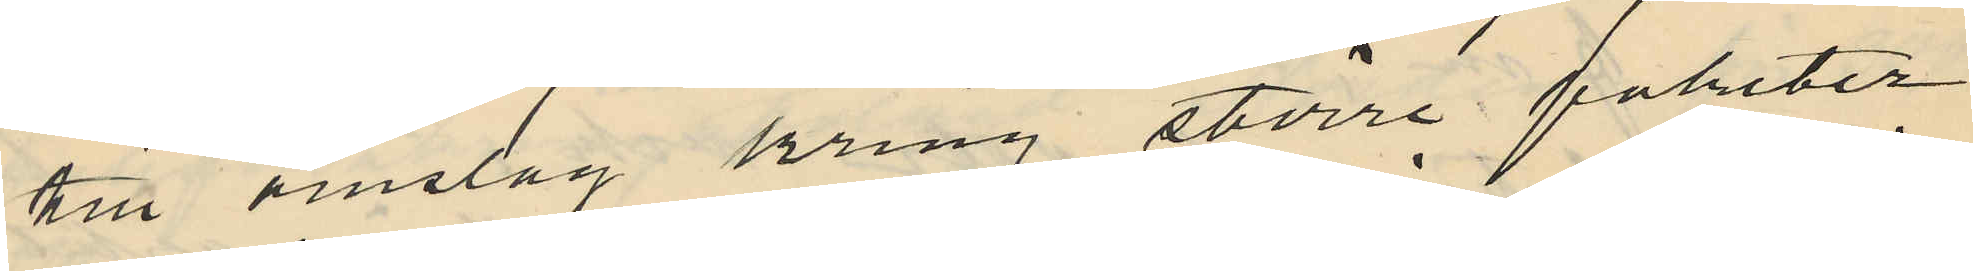till omslag kring större paketer
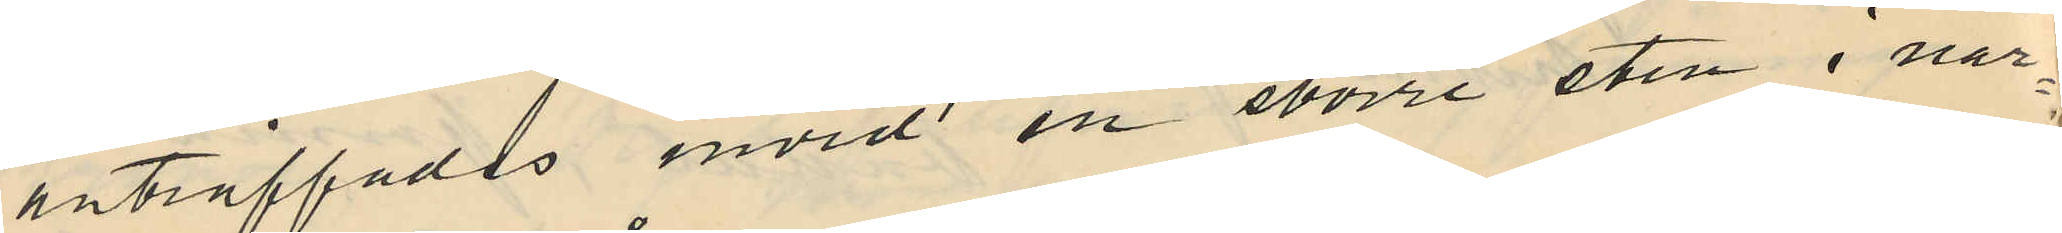anträffades invid en större sten i när¬
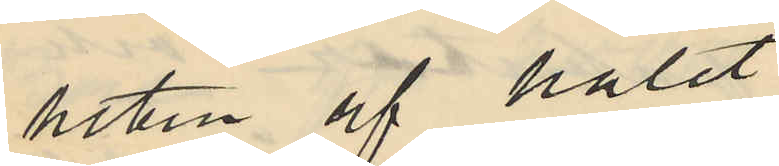heten af hålet.
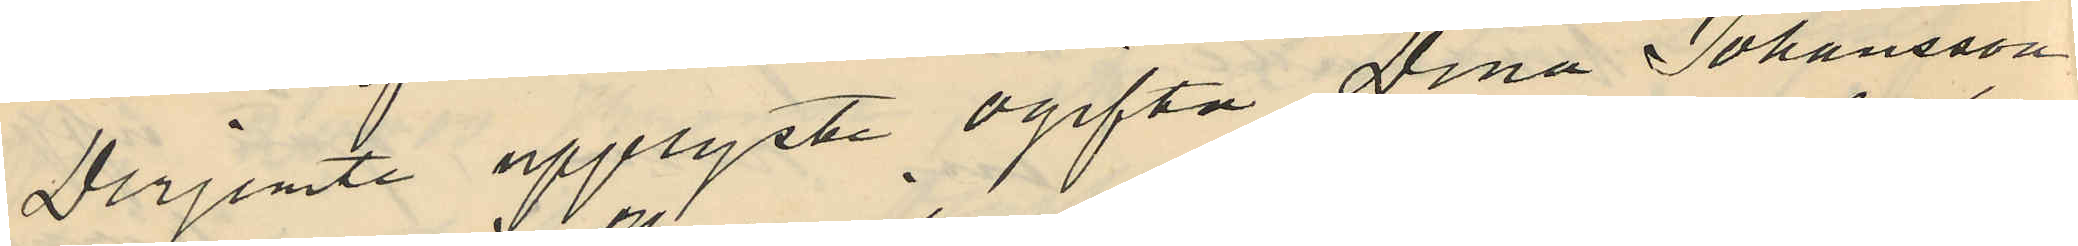Derjemte upplyste ogifta Stina Johansson
